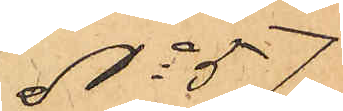No 57
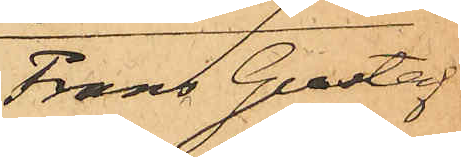Frans Gustaf
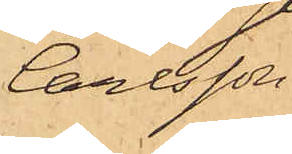Carlsson.
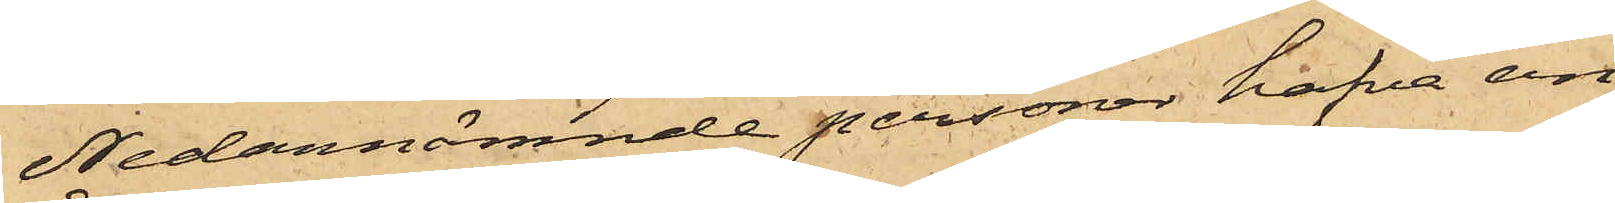Nedannämnde personer hafva an¬
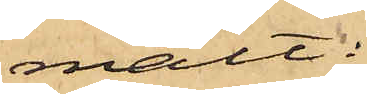mält:
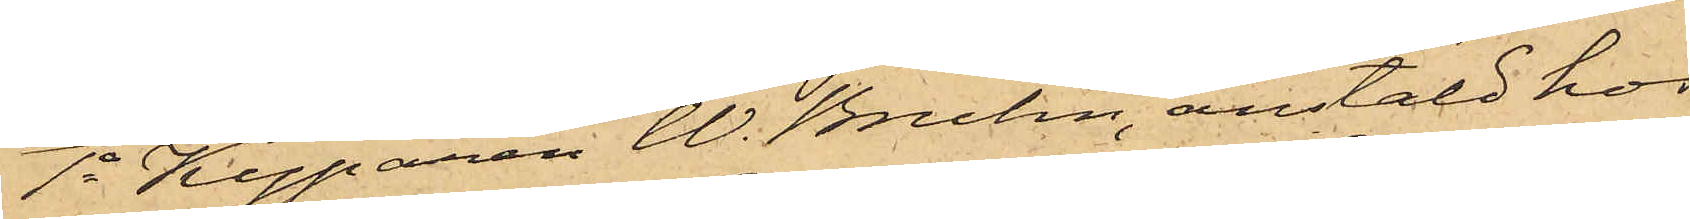1o Kyparen W. Bruhn, anstäld hos
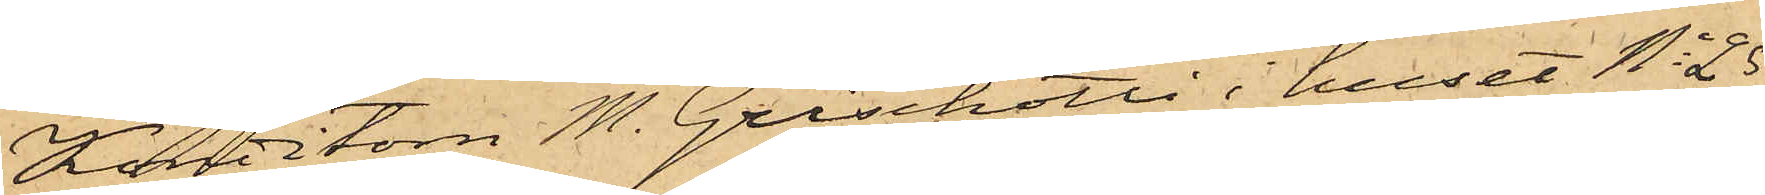Konditorn M. Grischotti i huset No 25
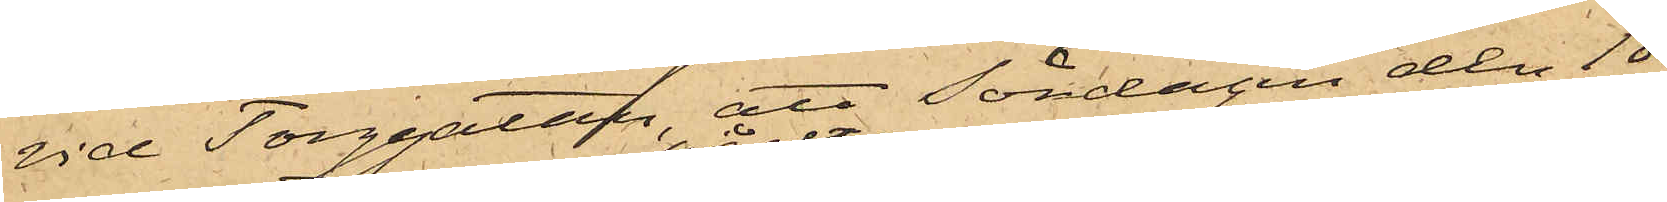vid Torggatan, att Söndagen den 18
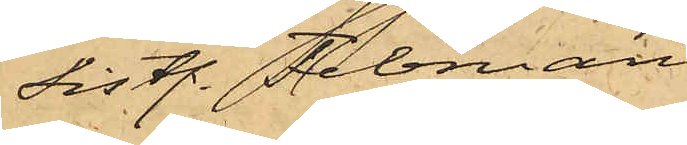sistl. Februari
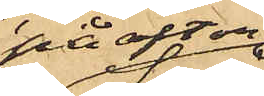på afton
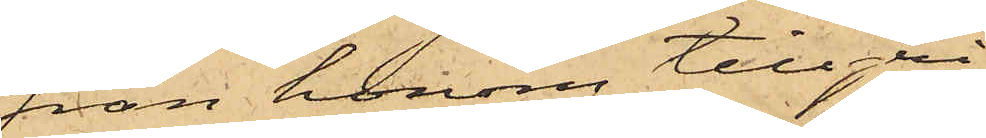från honom tillgri¬
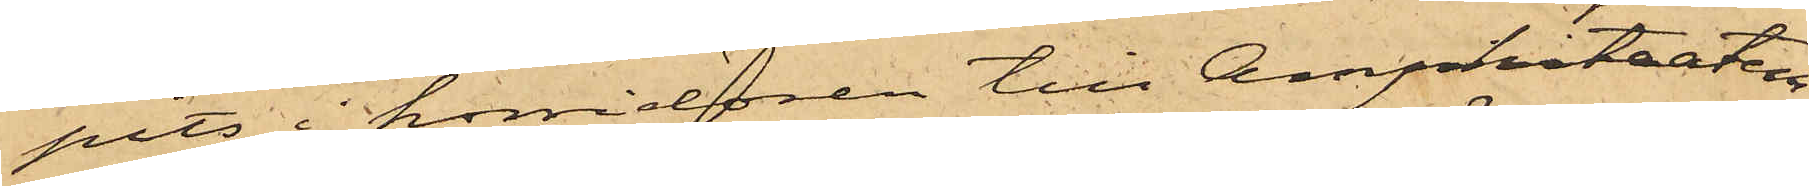pits i korridoren till Amphiteatern
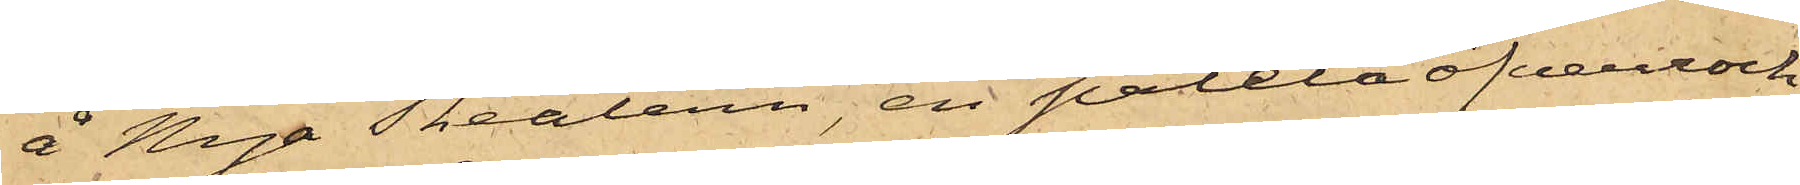å Nya Theatern, en paletåöfverrock
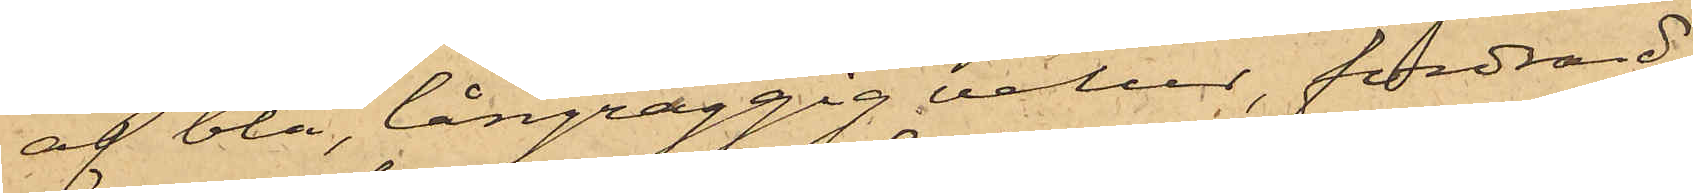af blå, långraggig velur, fordrad
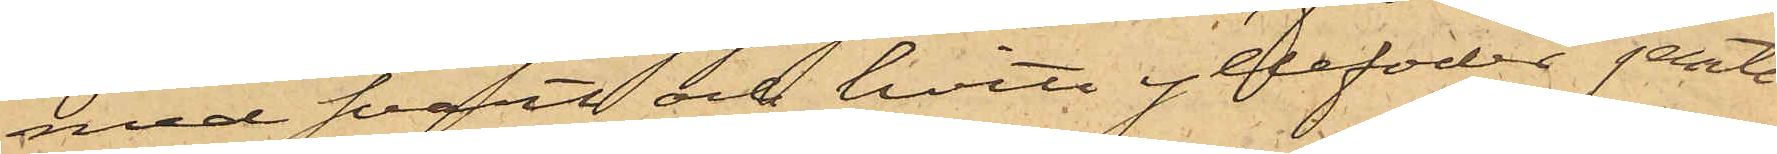med svart och hvitt yllefoder jemte
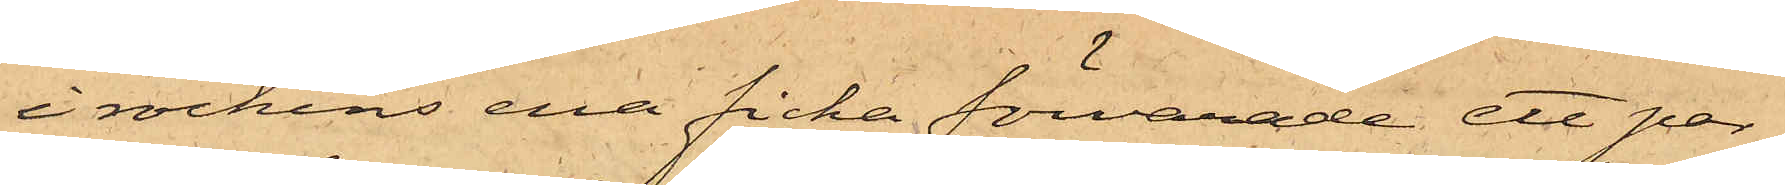i rockens ena ficka förvarade ett par
